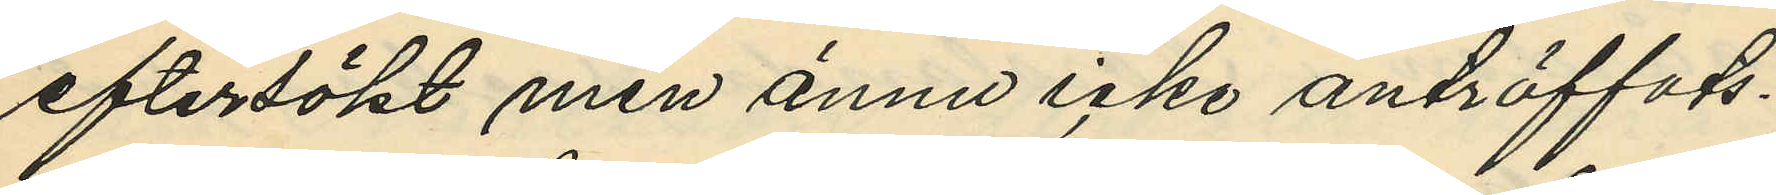eftersökt men ännu icke anträffats.
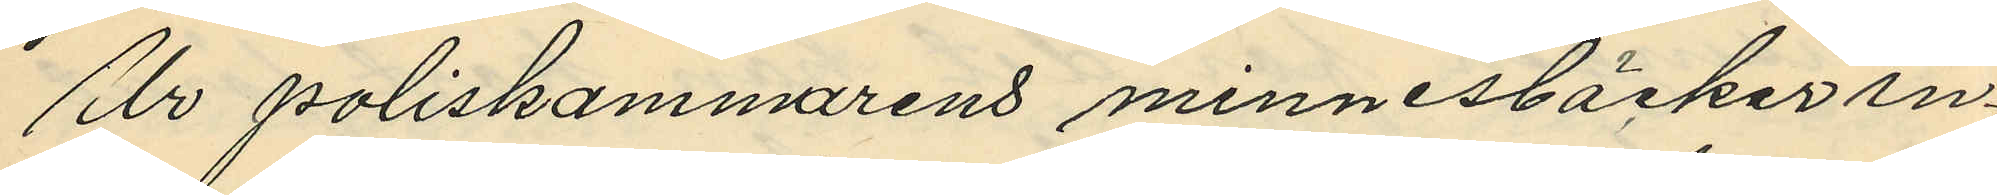Ur poliskammarens minnesböcker in¬
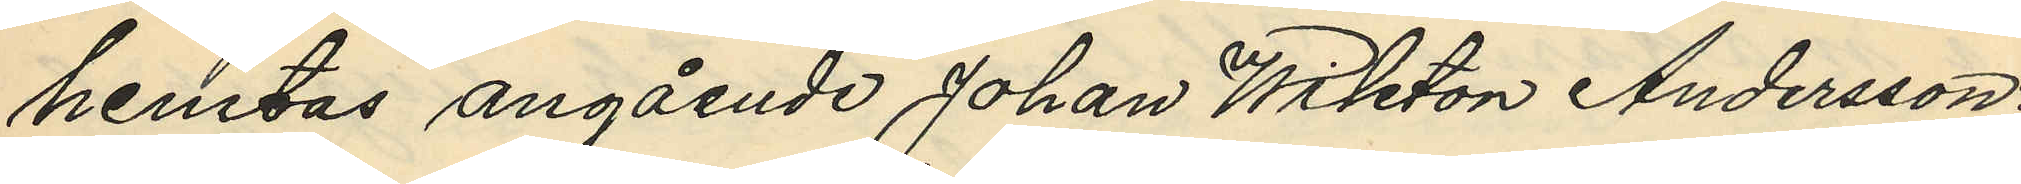hemtas angående Johan Wiktor Andersson:
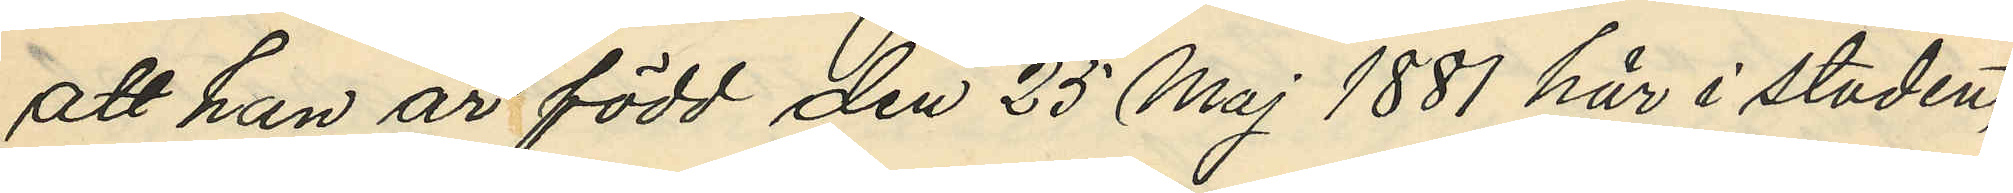att han är född den 25 Maj 1881 här i staden;
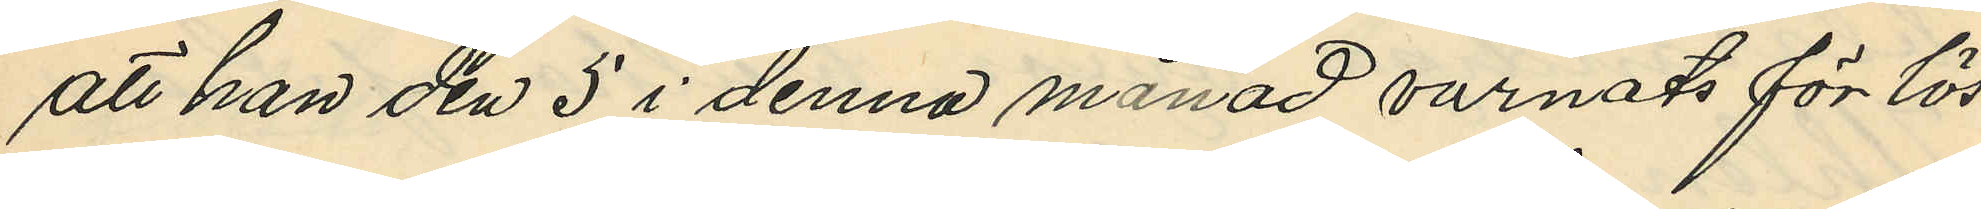att han den 5 i denna månad varnats för lös¬
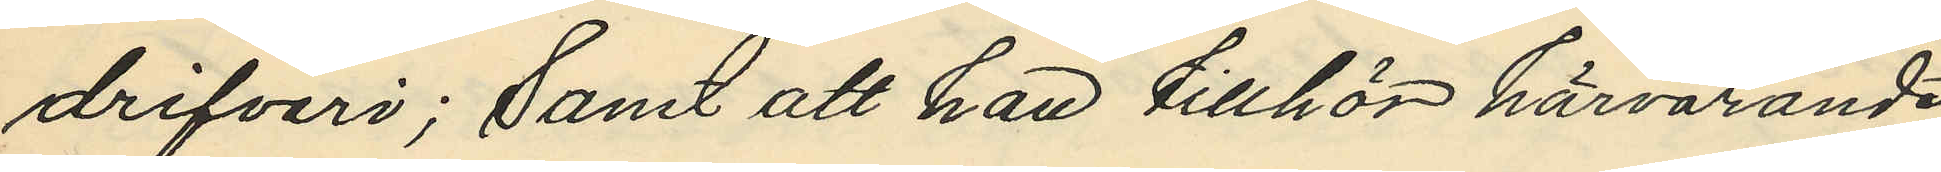drifveri; Samt att han tillhör härvarande
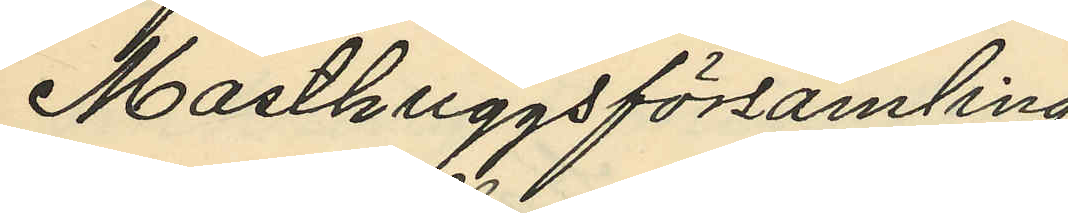Masthuggsförsamling
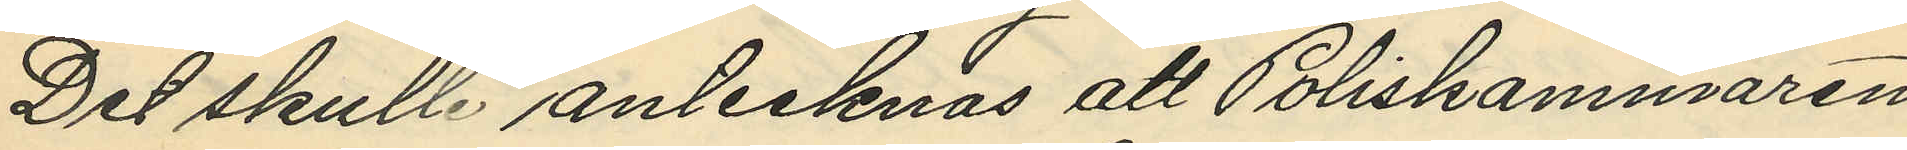Det skulle antecknas att Poliskammaren
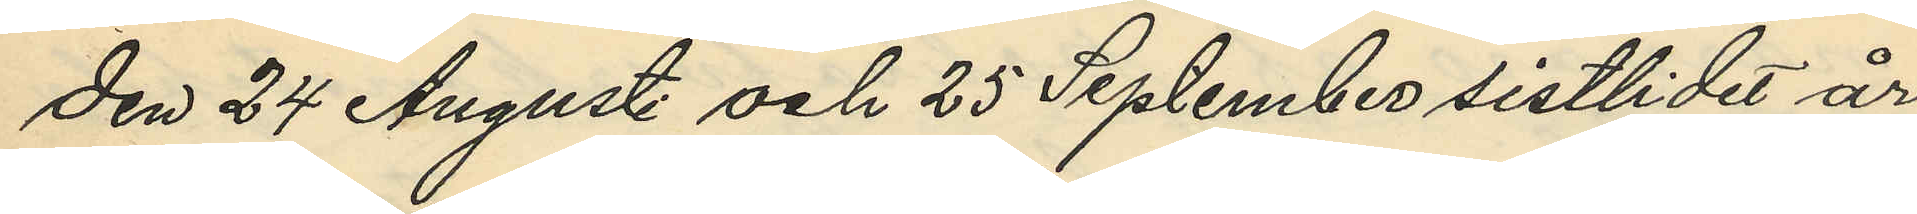den 24 Augusti och 25 September sistlidet år
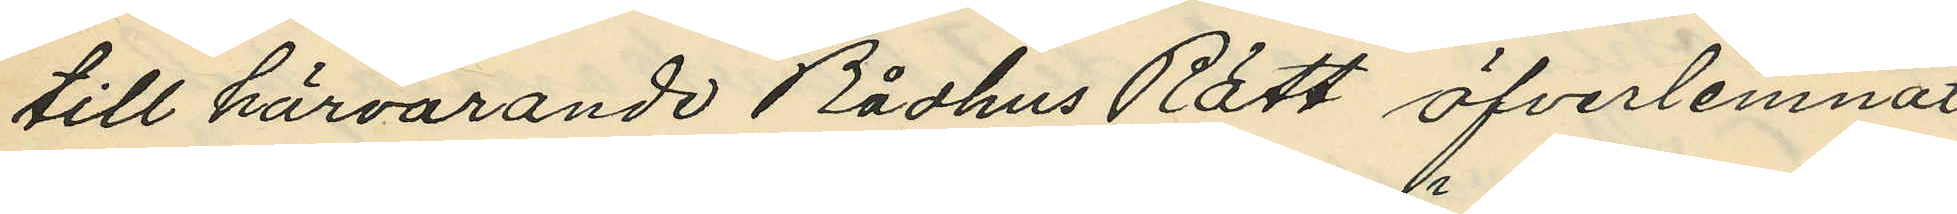till härvarande Rådhus Rätt öfverlemnat
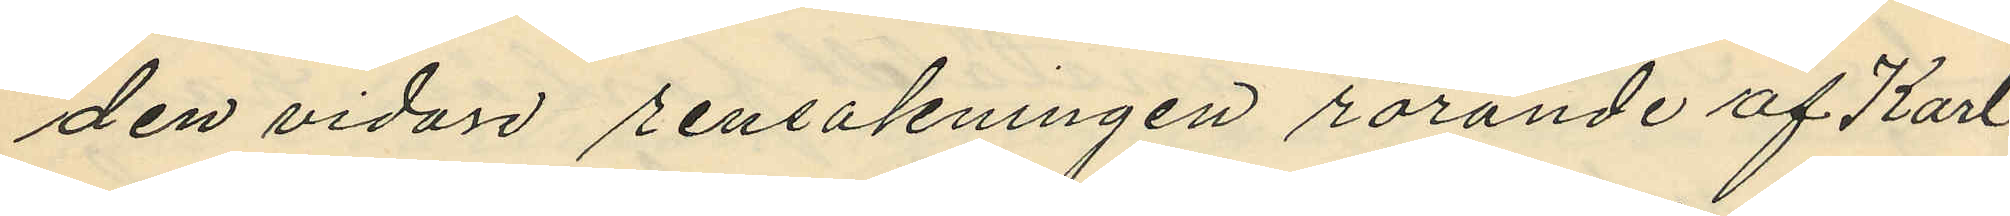den vidare rensakningen rörande af Karl
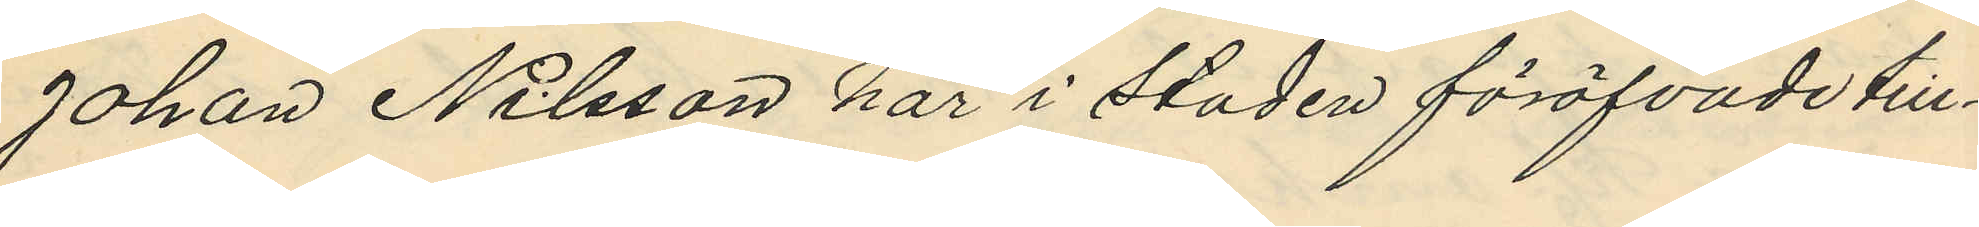Johan Nilsson här i staden föröfvade till¬
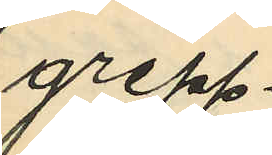grepp.
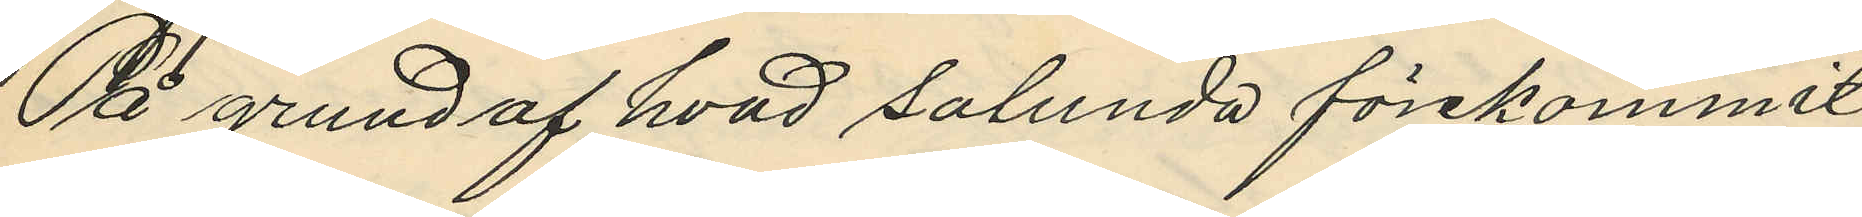På grund af hvad salunda förekommit
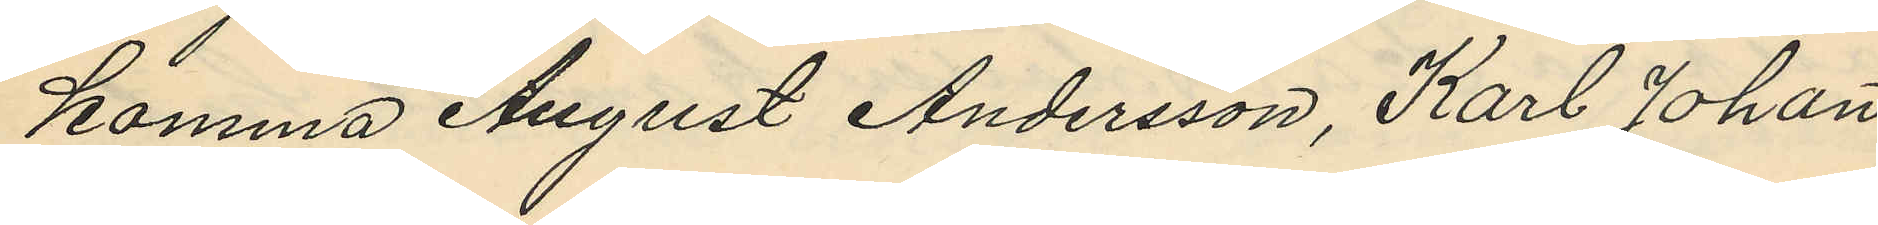komma August Andersson, Karl Johan
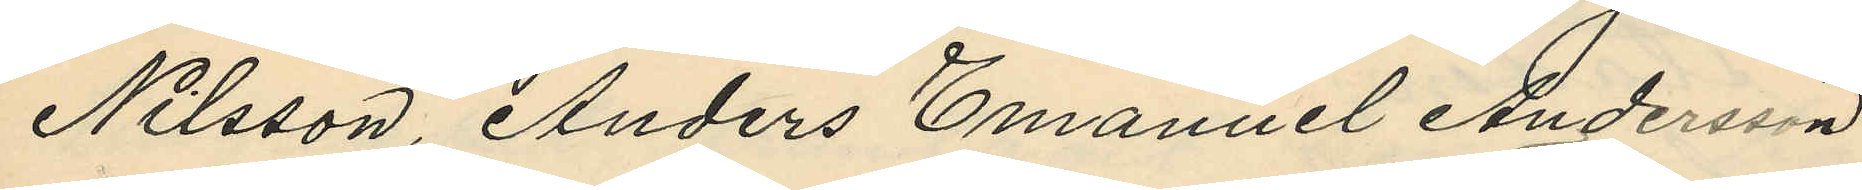Nilsson, Anders Emanuel Andersson
